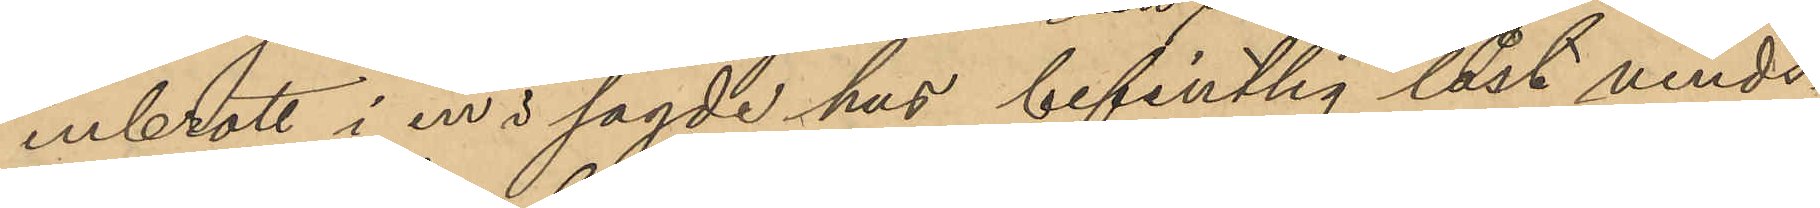inbrott i en i sagde hus befintlig låst vinds¬
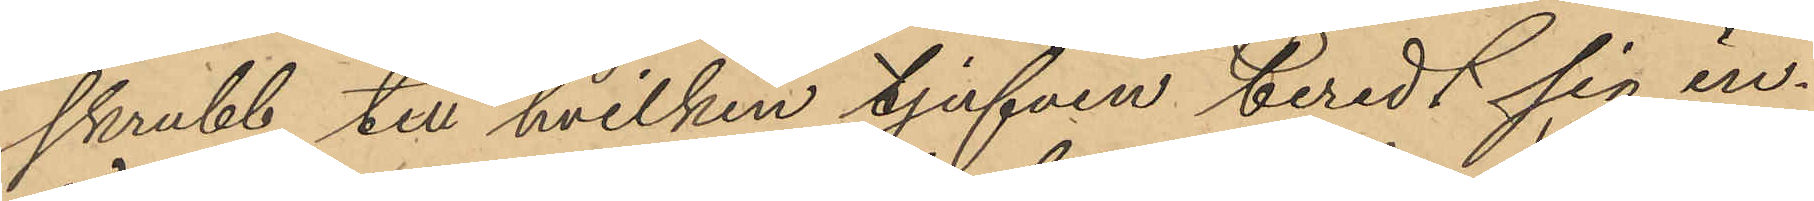skrubb till hvilken tjufven beredt sig in¬
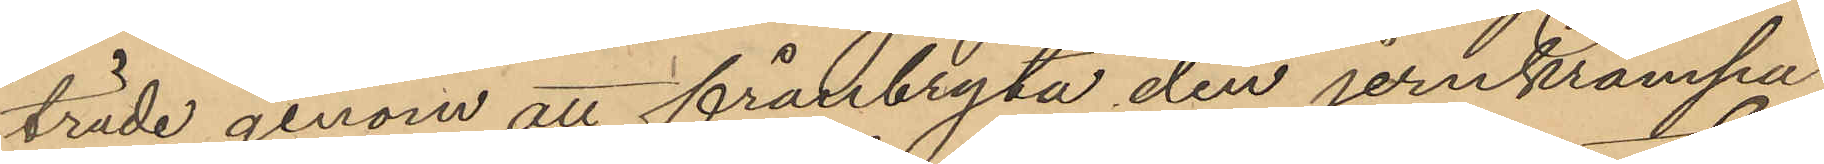träde genom att frånbryta den jernkrampa
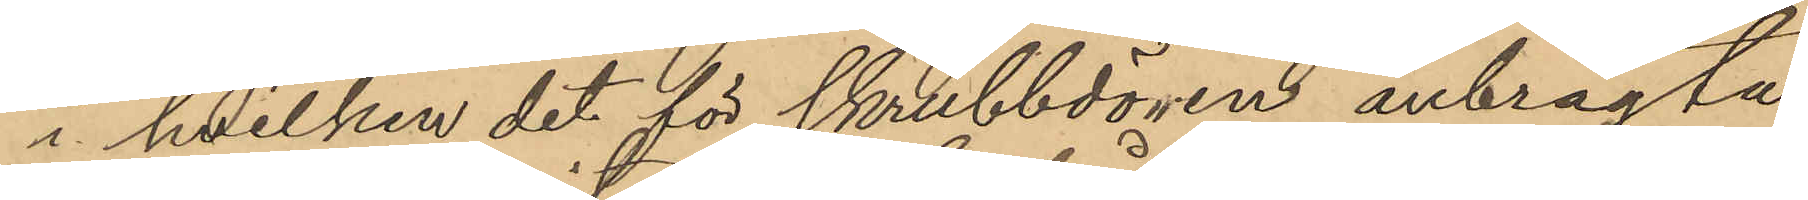i hvilken det för skrubbdören anbragta
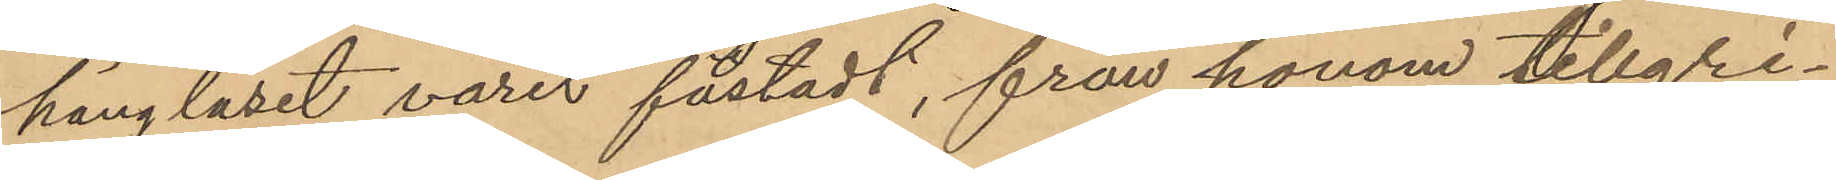hänglåset varit fästadt, från honom tillgri¬
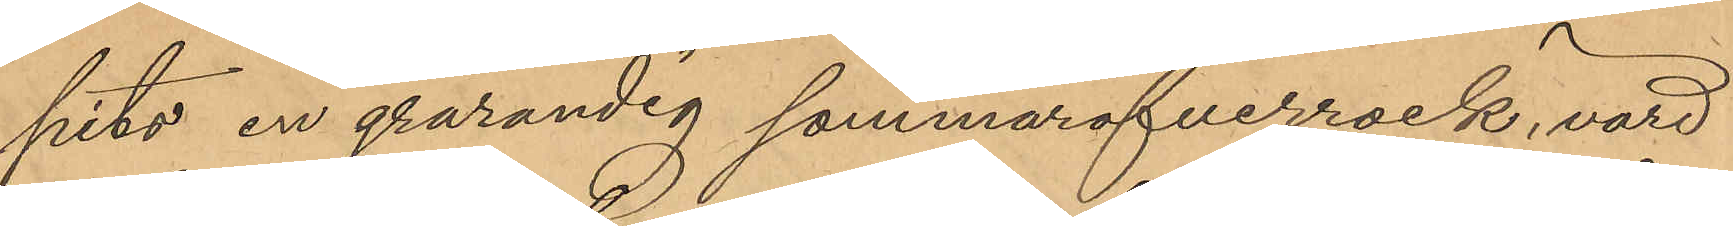pits en grårandig sommaröfverrock, värd
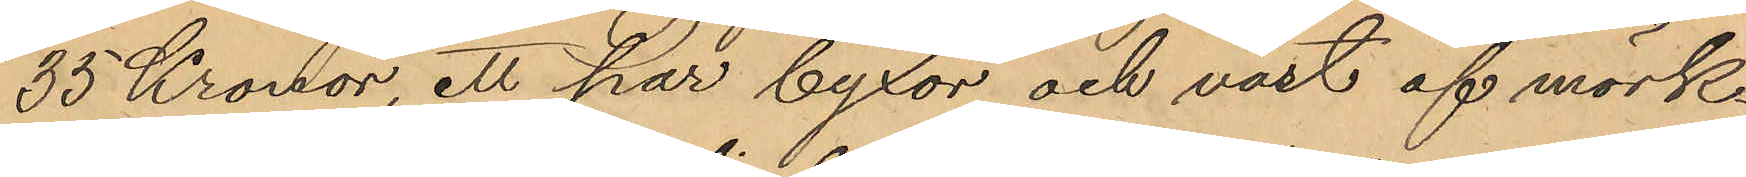35 Kronor, ett par byxor och väst af mörk¬
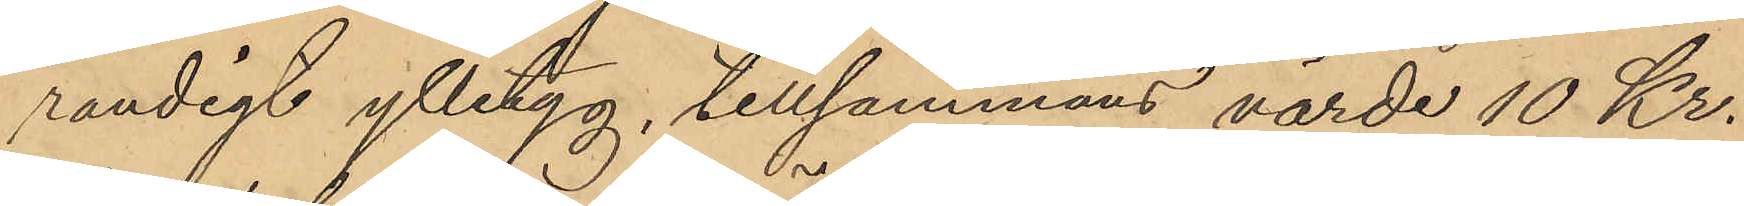randigt ylletyg, tillsammans värde 10 Kr.
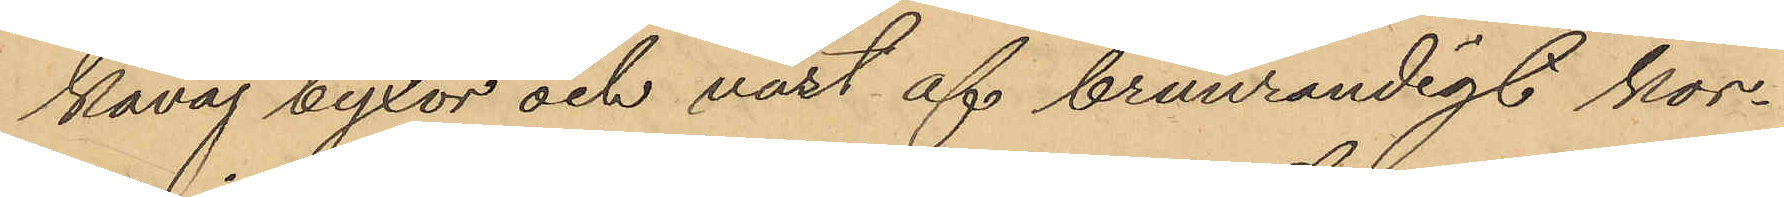kavaj byxor och väst af brunrandigt kor¬
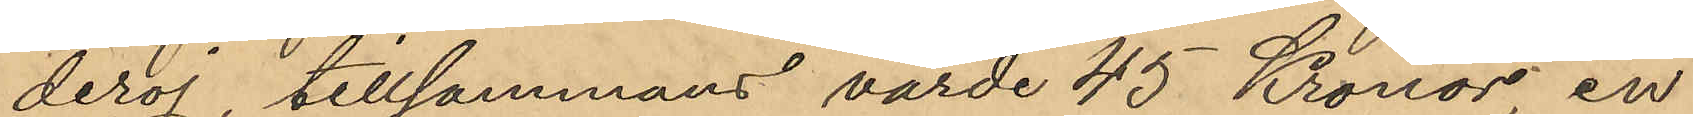deroj tillsammans värde 45 Kronor, en
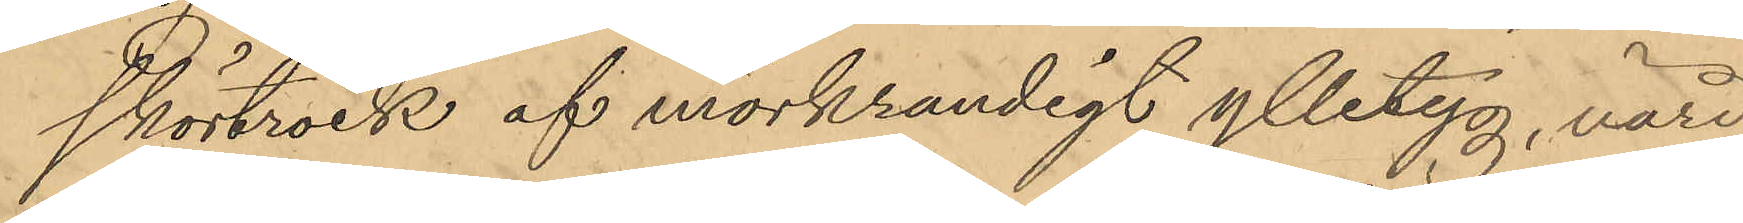skörtrock af mörkrandigt ylletyg, värd
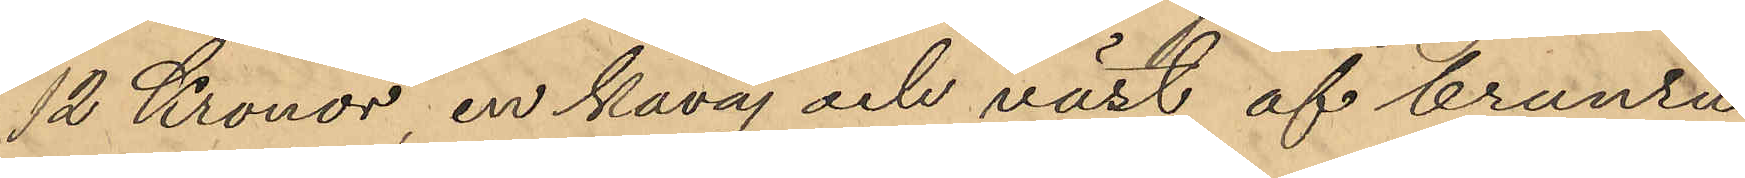12 Kronor, en kavaj och väst af brunru¬
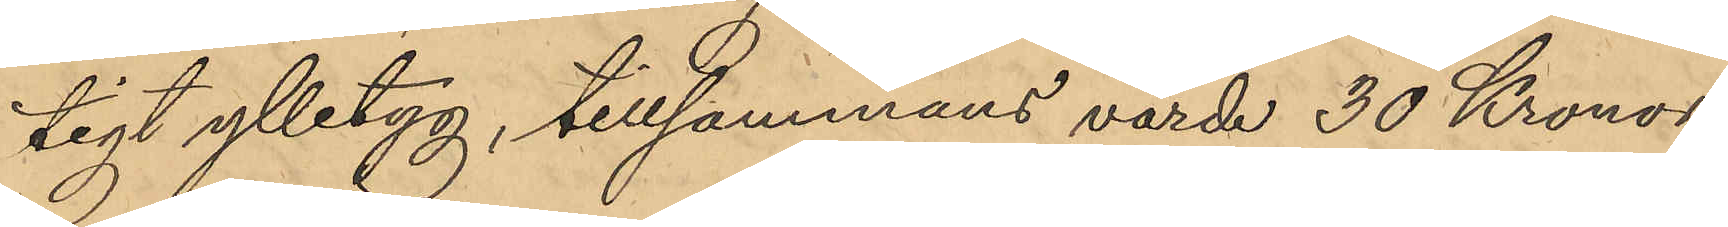tigt ylletyg, tillsammans värde 30 Kronor,
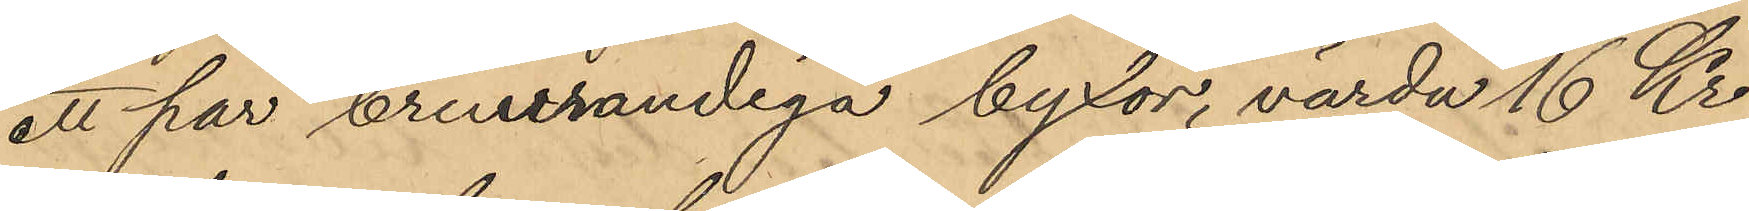ett par brunrandiga byxor, värda 16 Kr
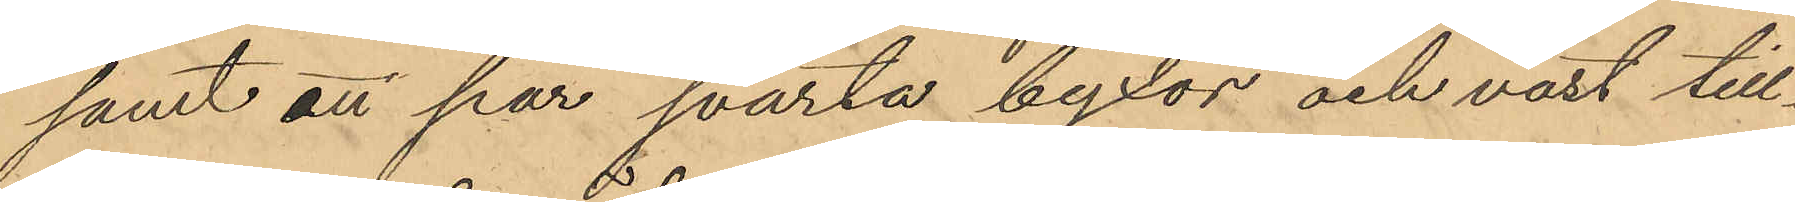samt att par svarta byxor och väst till¬
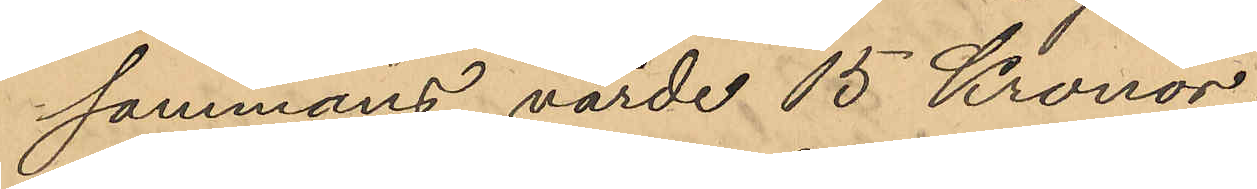sammans värde 15 Kronor;
